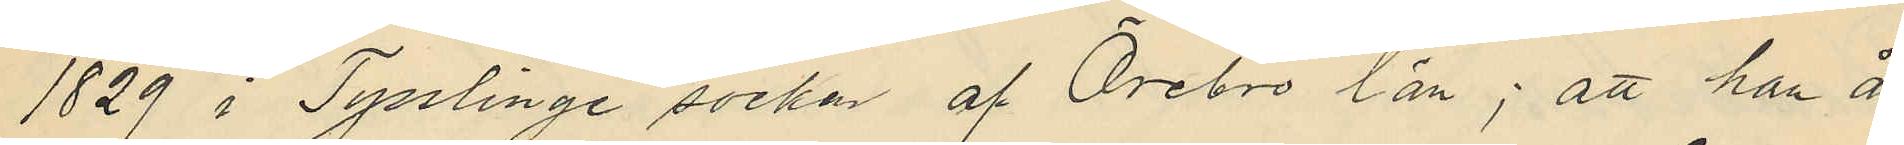1829 i Tysslinge socken af Örebro län; att han år
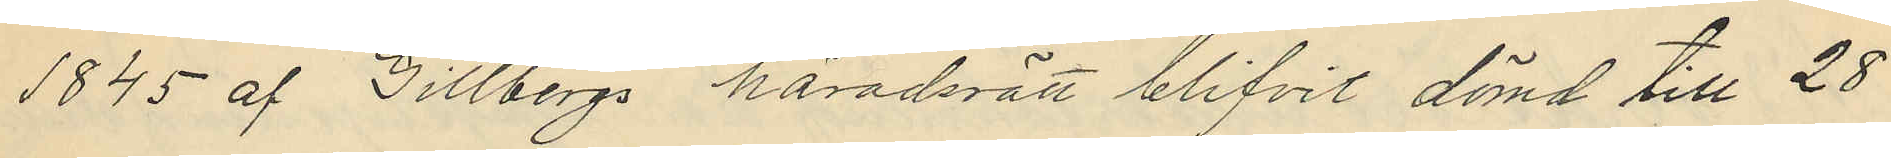1845 af Gillbergs häradsrätt blifvit dömd till 28
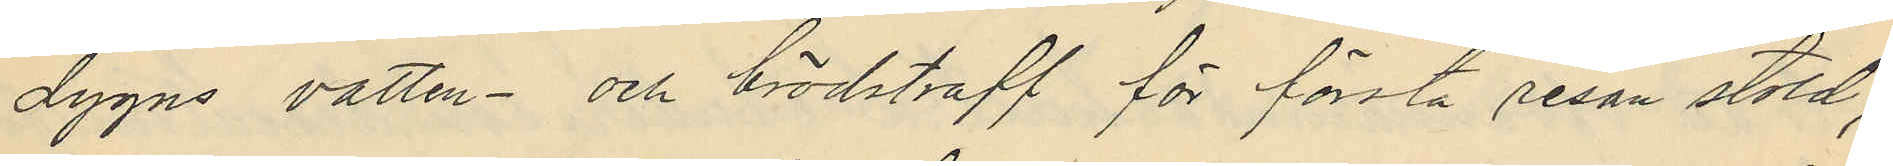dygns vatten- och brödstraff för första resan stöld;
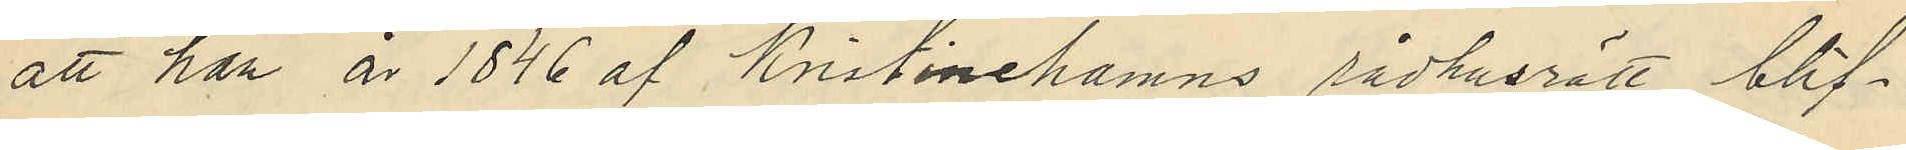att han år 1846 af Kristinehamns rådhusrätt blif¬
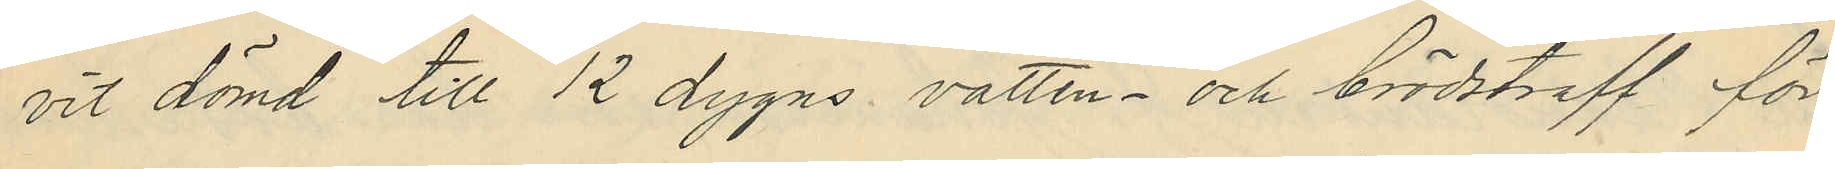vit dömd till 12 dygns vatten- och brödstraff för
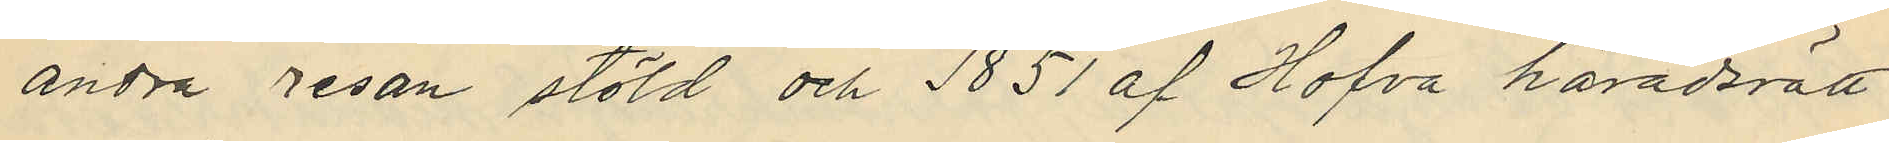andra resan stöld och 1851 af Hofva häradsrätt
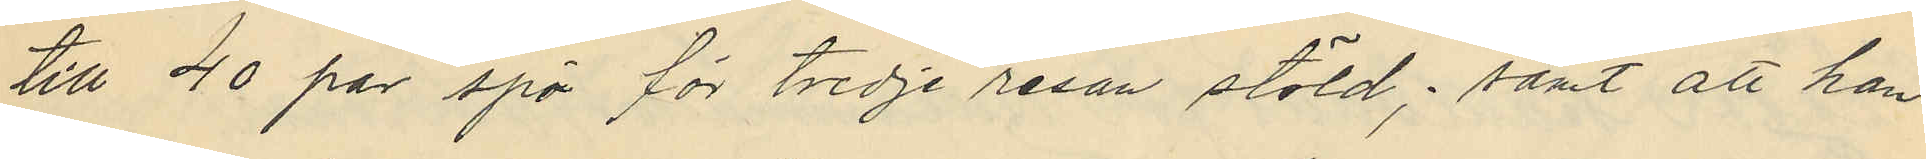till 40 par spö för tredje resan stöld; samt att han
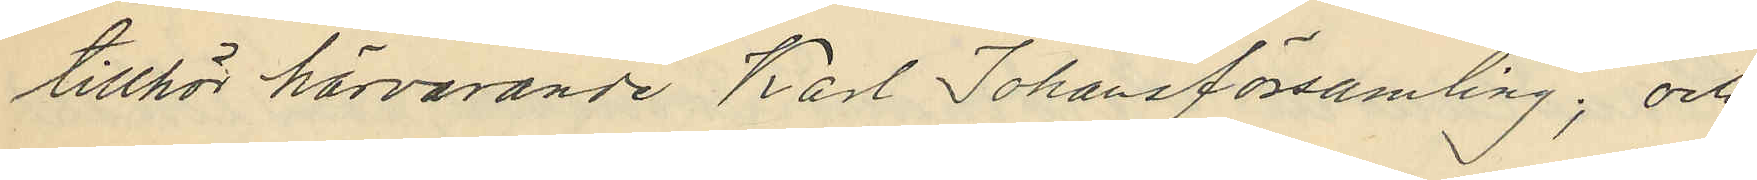tillhör härvarande Karl Johansförsamling; och
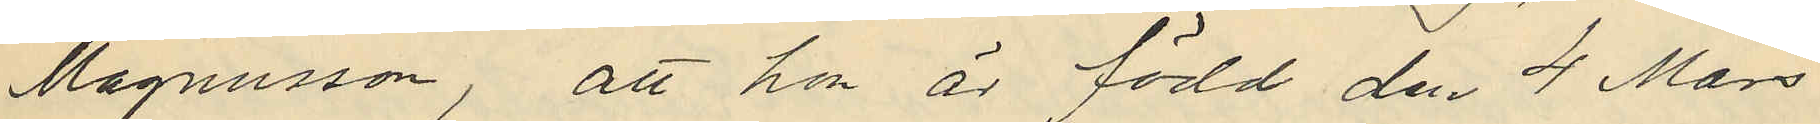Magnusson, att hon är född den 4 Mars
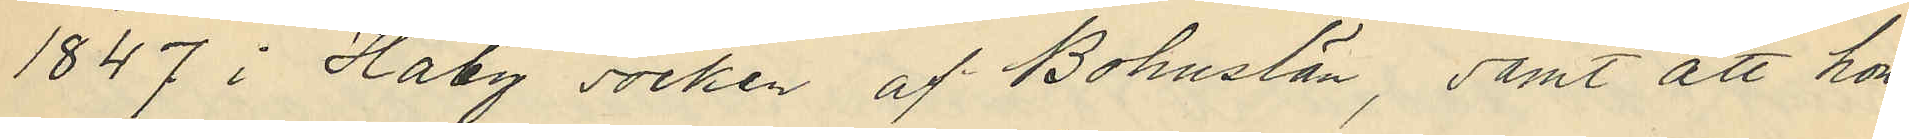1847 i Haby socken af Bohuslän, samt att hon
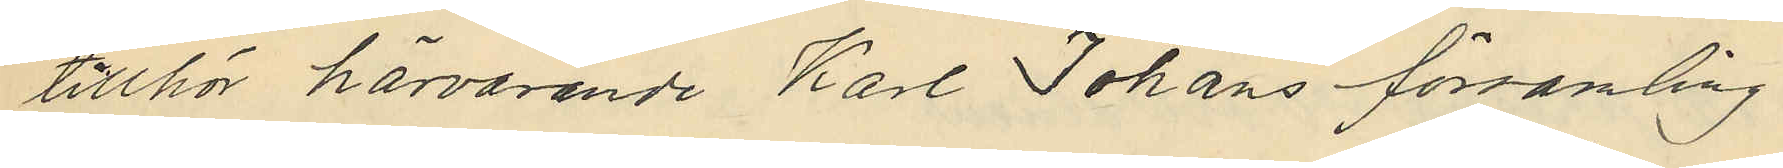tillhör härvarande Karl Johans församling.
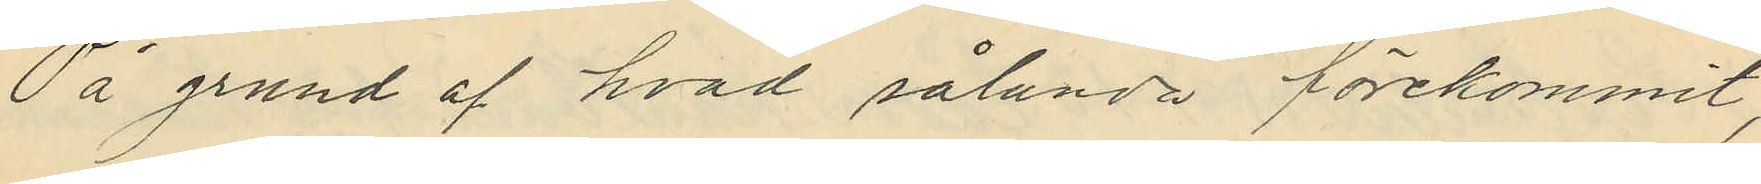På grund af hvad sålunda förekommit,
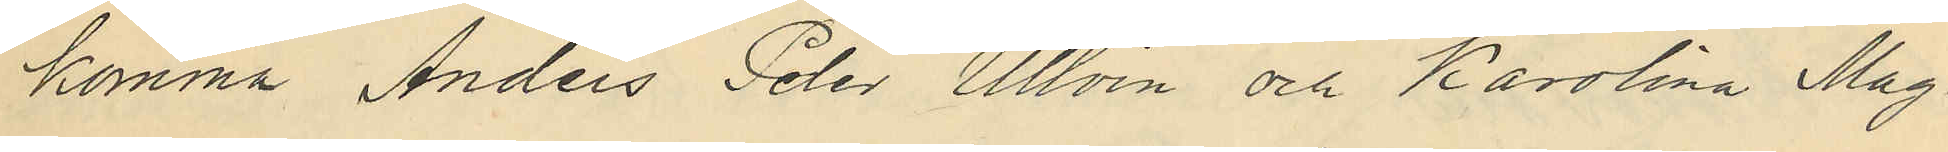komma Anders Peter Ullvin och Karolina Mag¬
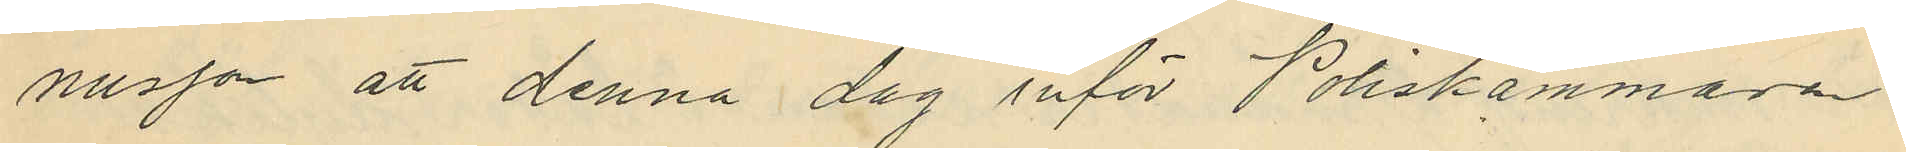nusson att denna dag inför Poliskammaren
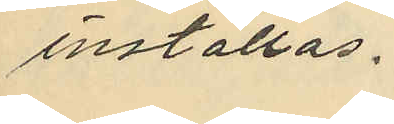inställas.
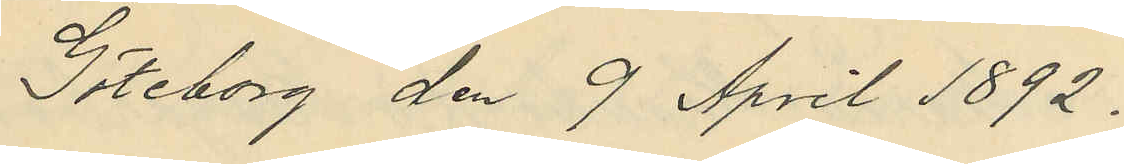Göteborg den 9 April 1892.
